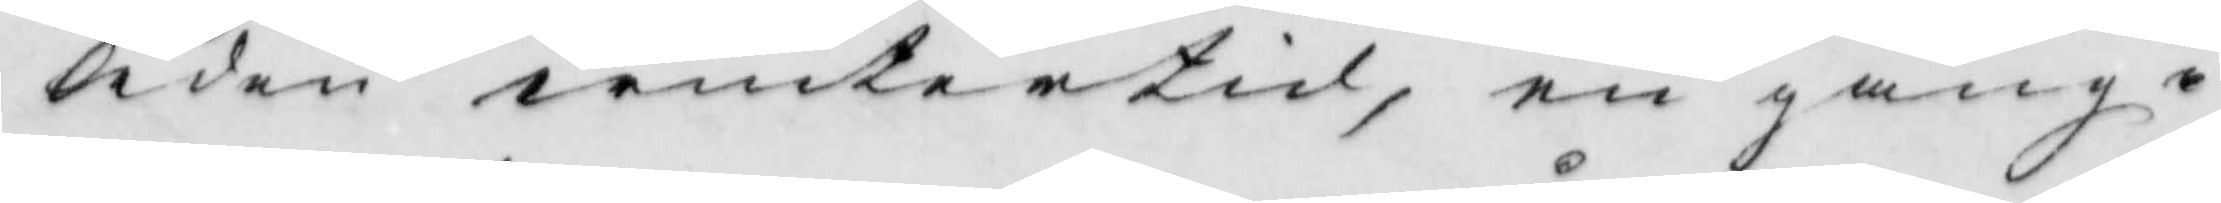leden wintertid, en gång i
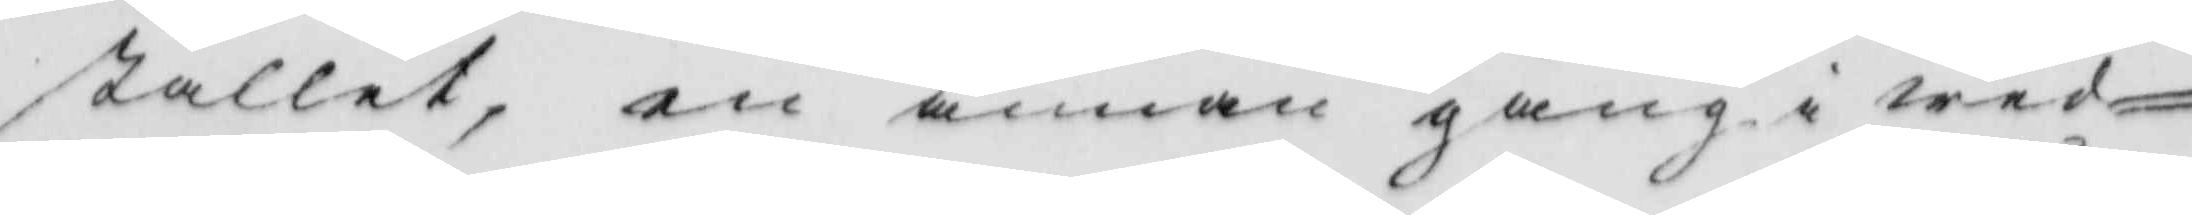stallet, en annan gång i wed¬
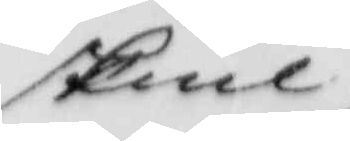skiul
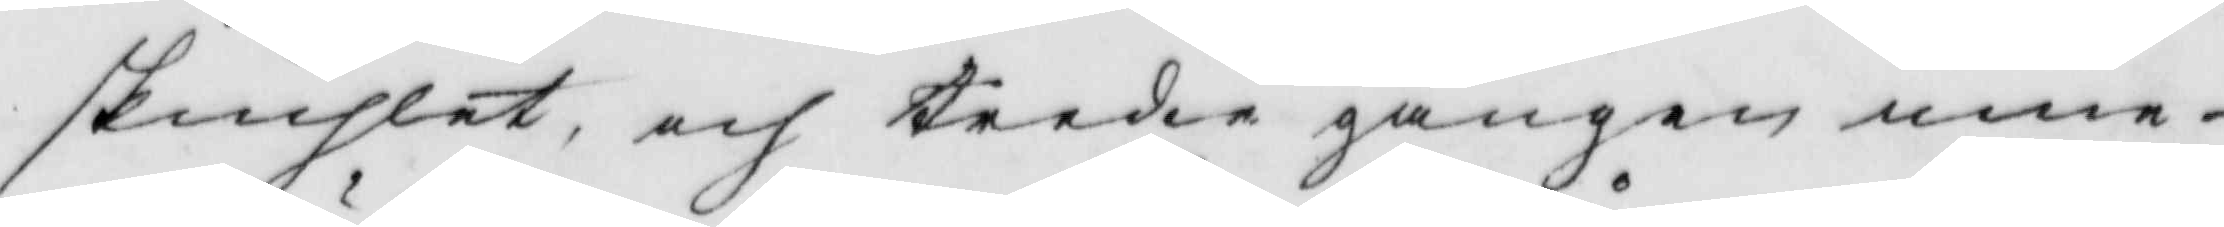skiuhlet, och tredie gången inne
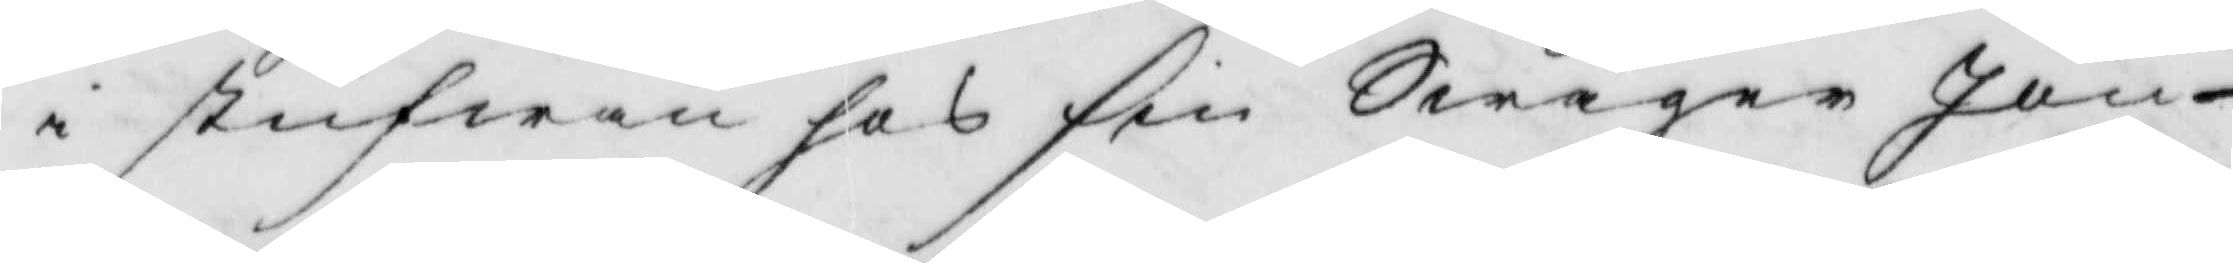i stufwan hos sin Swåger Jan
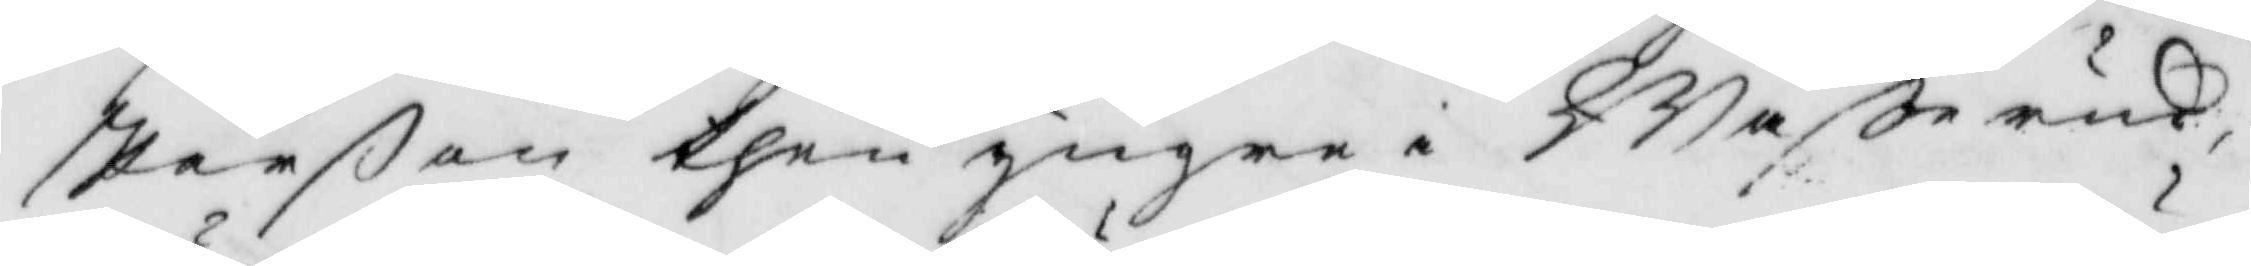Perßon then yngre i Waßerud,
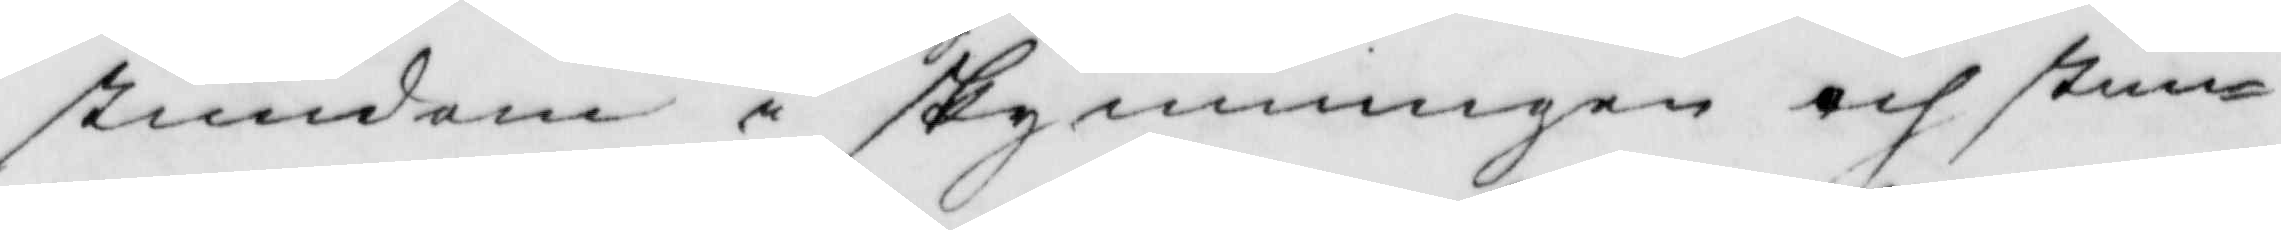stundom i skymningen och stun¬
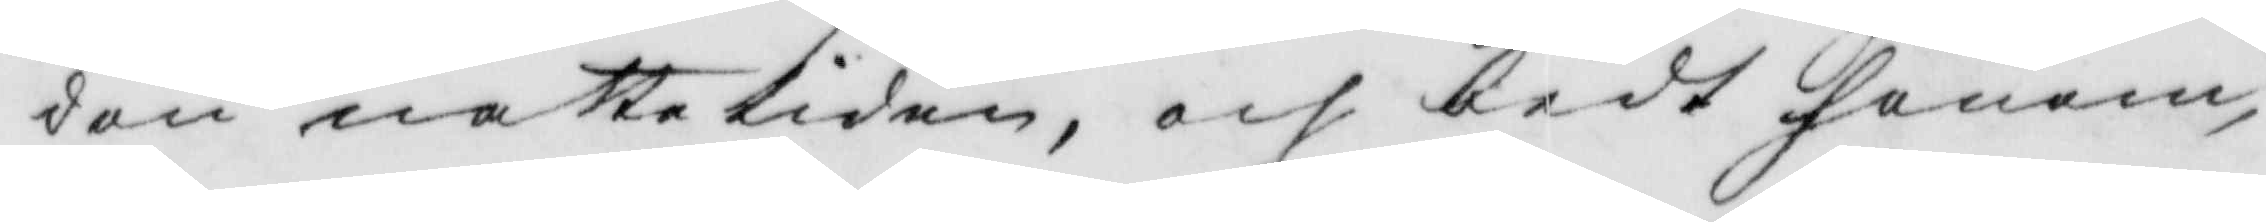don natte tiden, och bedt honom,
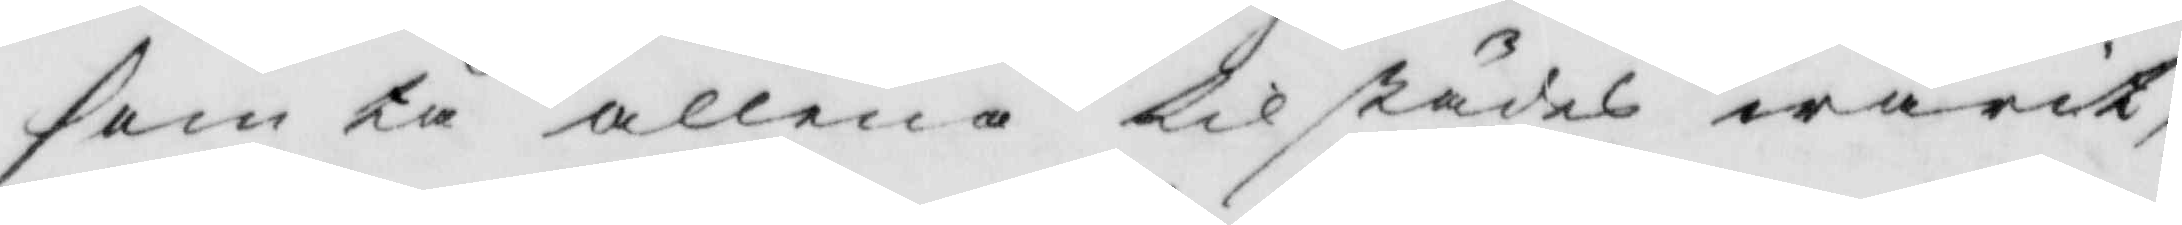som tå allena tilstädes warit,
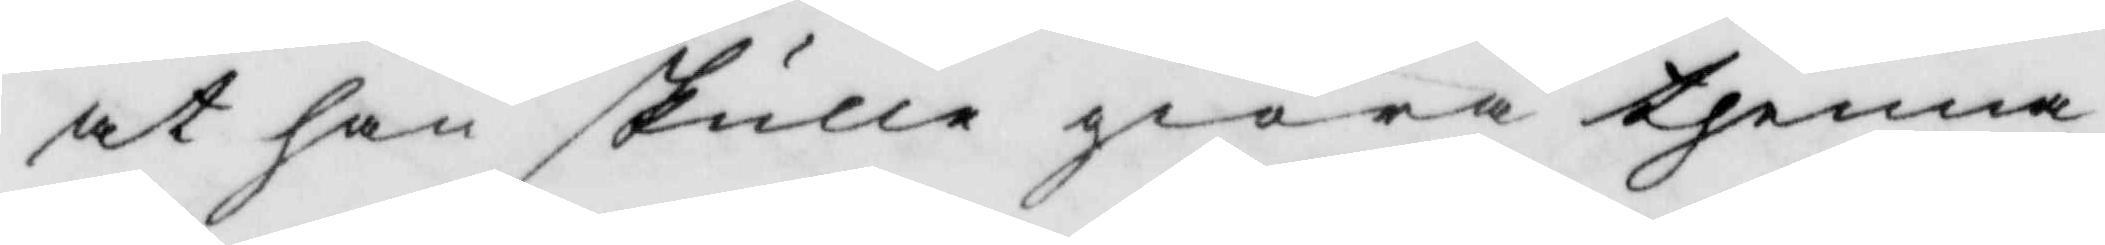at han skulle giöra thenna
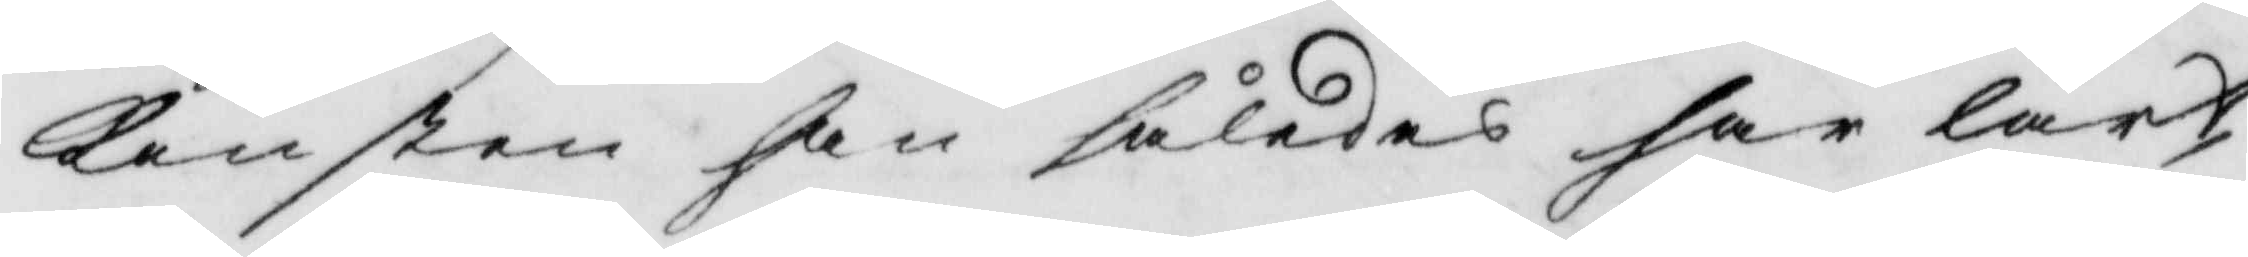konsten han således har lärt
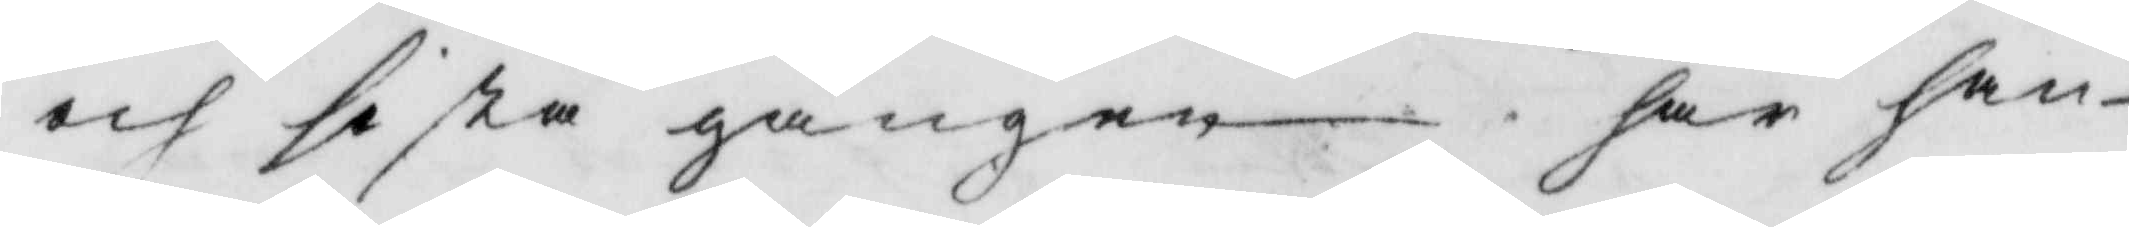och sista gången har han
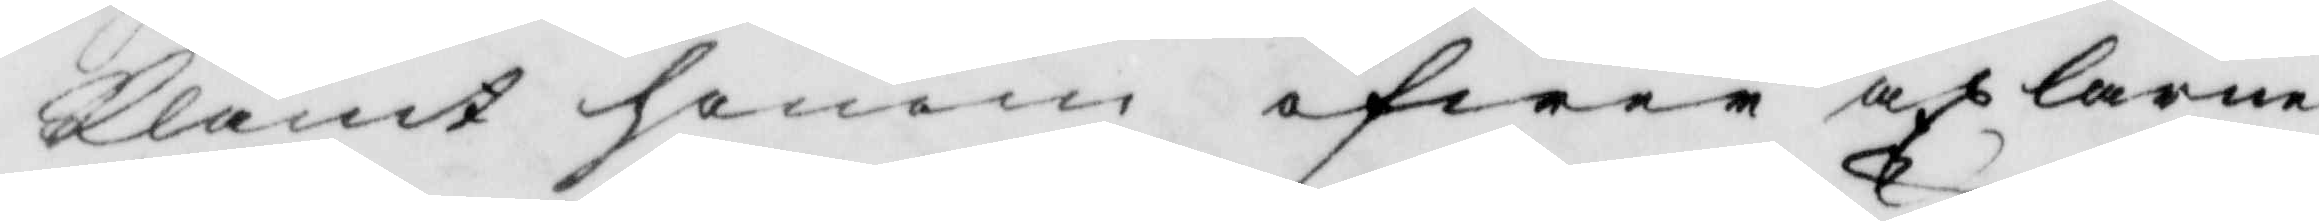klämt honom öfwer axlarne
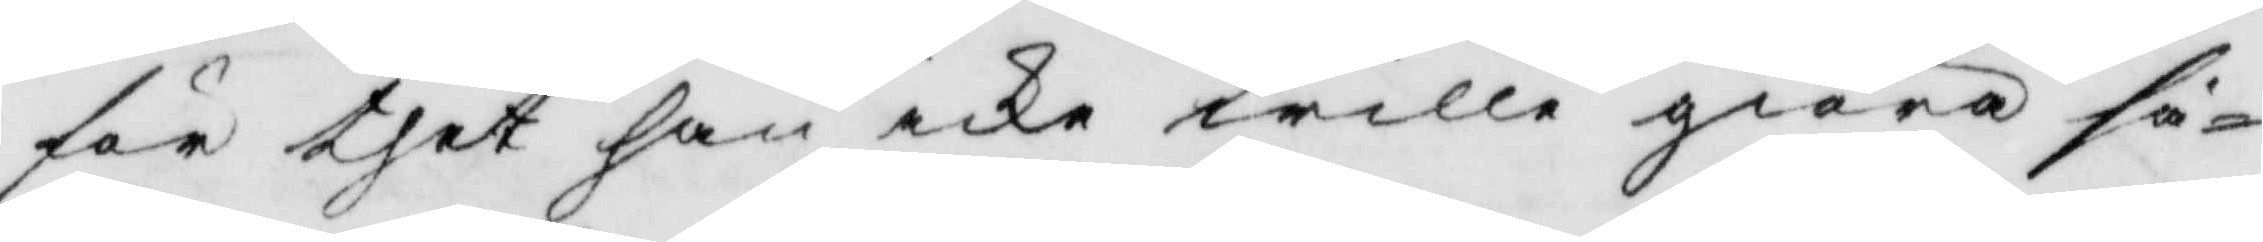för thet han icke wille giöra så¬
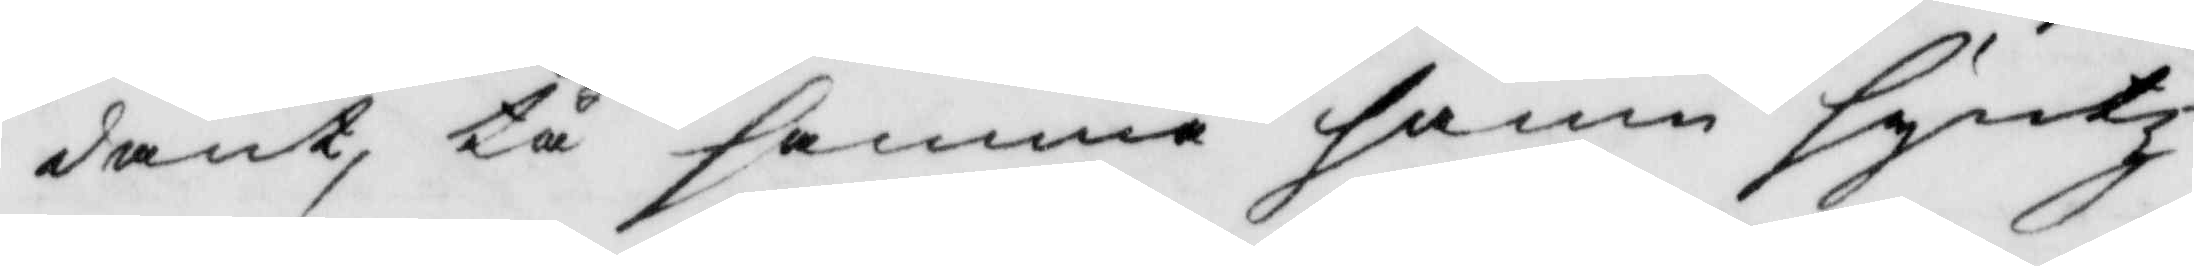dant, tå samme hamn syntz
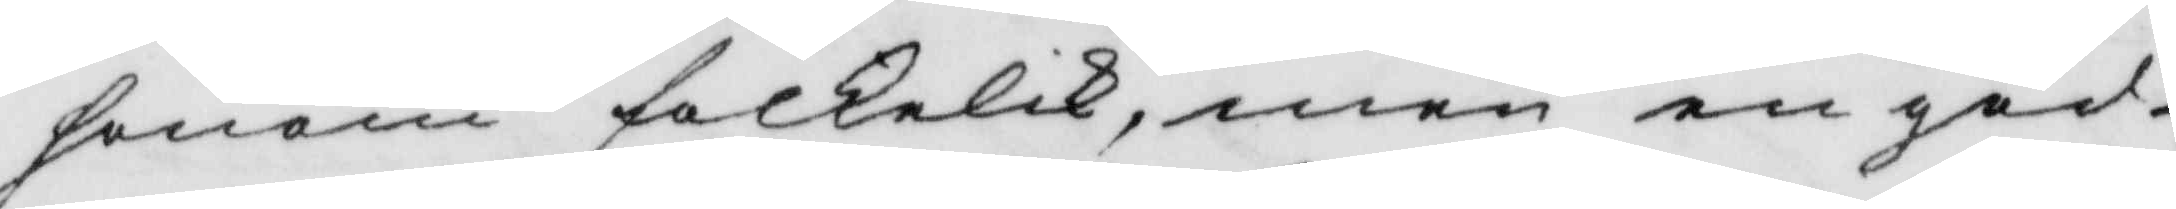honom folkelik, men en god
